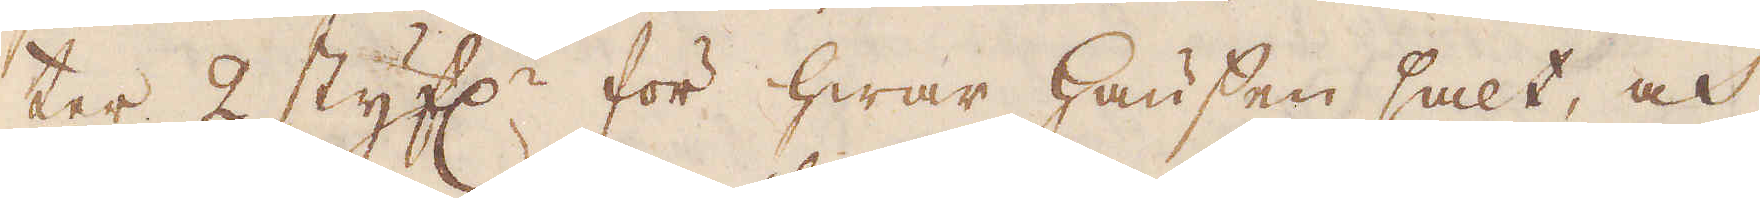ter 2 styf:r för hwar hausen salt, och
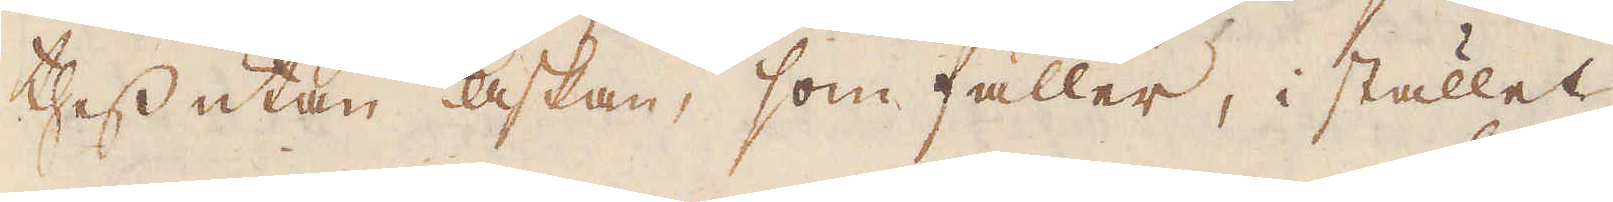thess utan askan, som faller, i stället
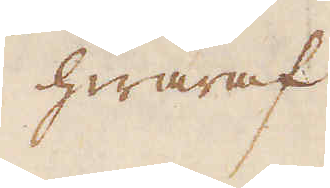hwaraf
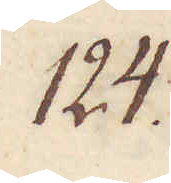124.
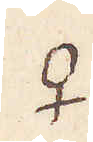♀
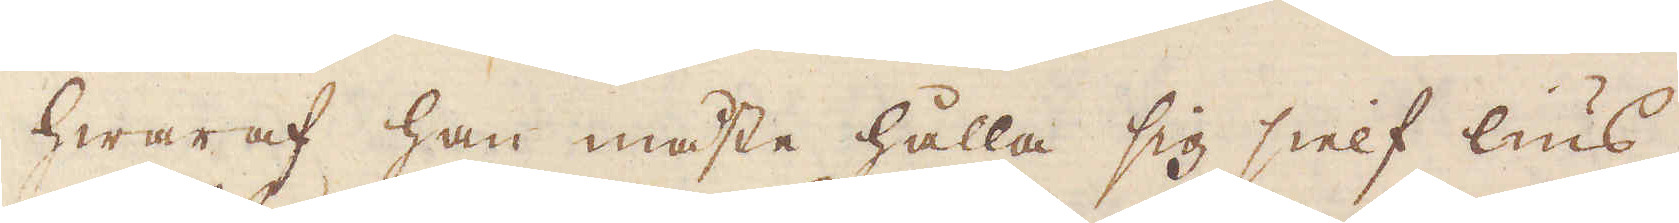hwaraf han måste hålla sig sielf lius,
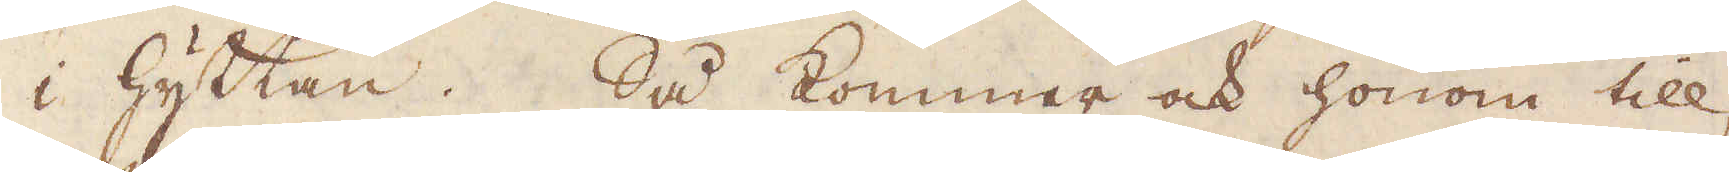i hyttan. Så kommer ock honom till
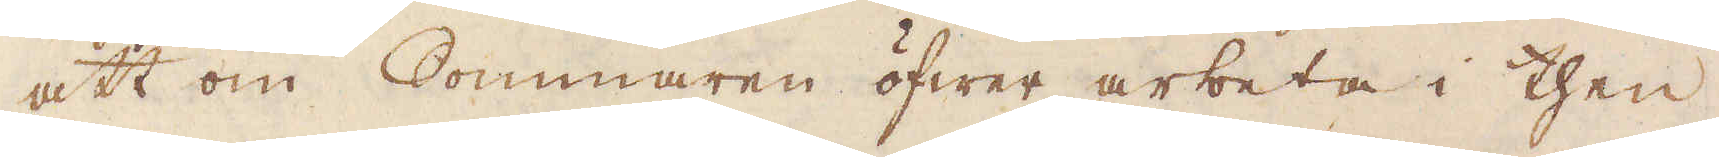att om Sommaren öfwer arbeta i then
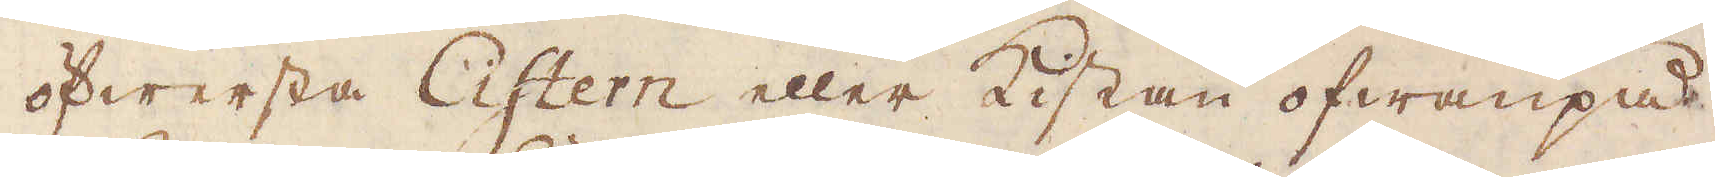öfwersta Cistern eller Kistan ofwanpå
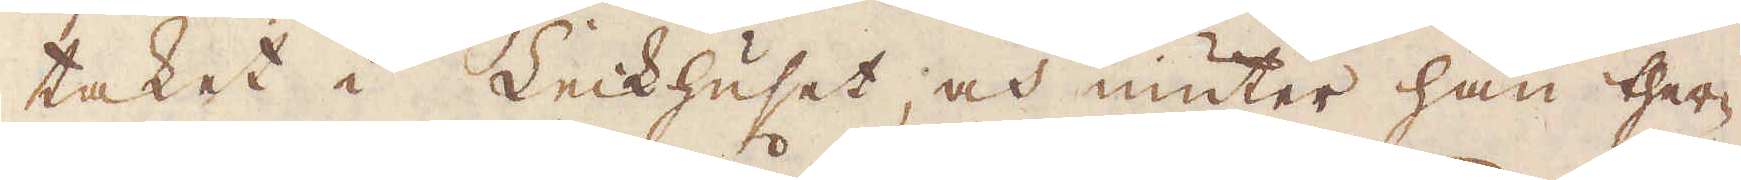taket i Leckhuset, och niuter han ther-
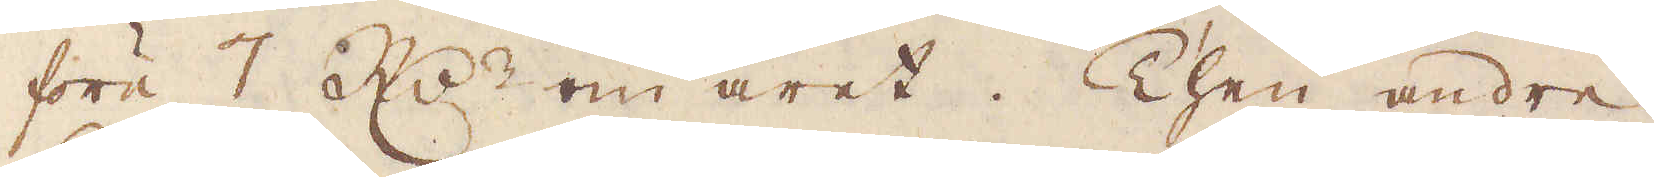före 7 R:r om året. Then andre
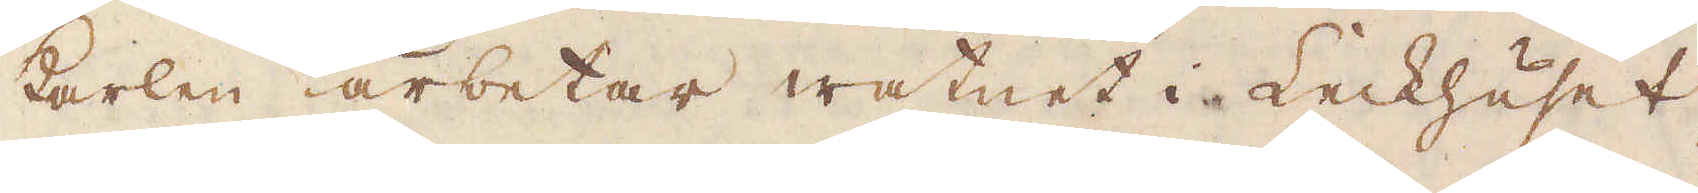karlen arbetar watnet i Leckhuset,
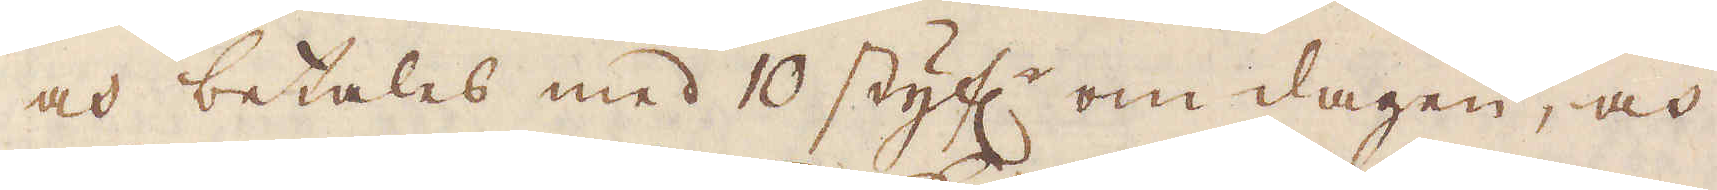och betalas med 10 styf:r om dagen, och
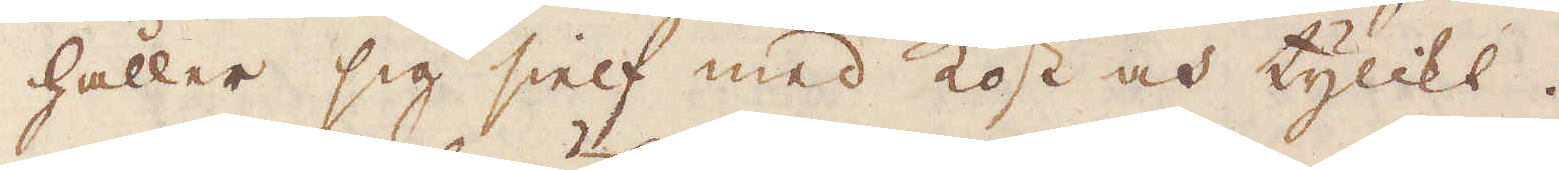håller sig sielf med kost och tylikt.
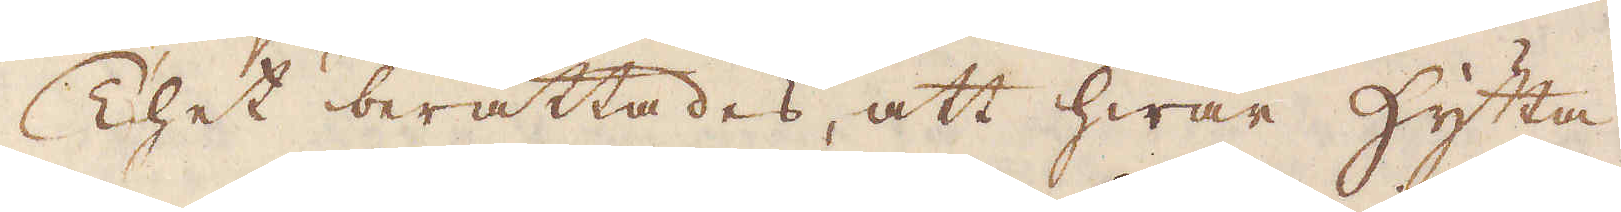Thet berättades, att hwar hytta
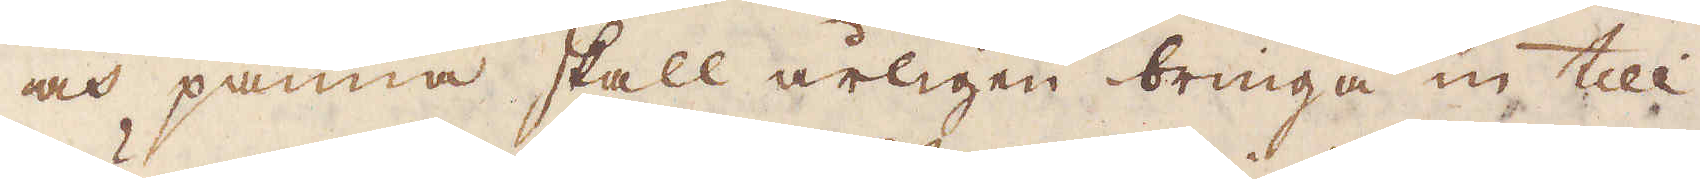och panna skall årligen bringa in till
